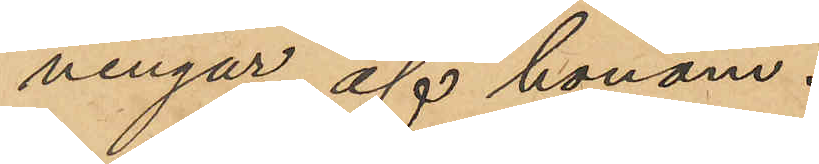ningar af honom.
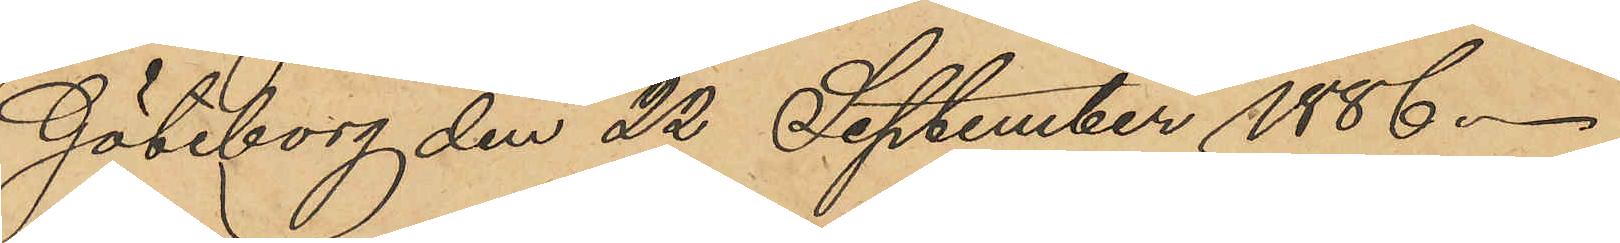Göteborg den 22 September 1886.
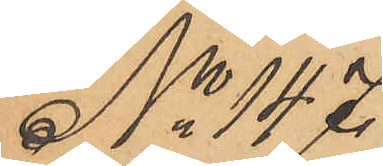No 147.
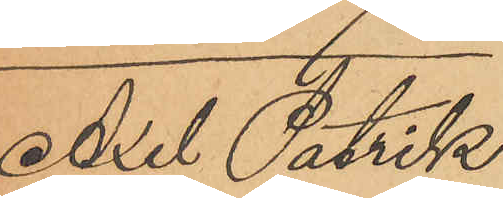Axel Patrik
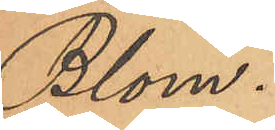Blom.
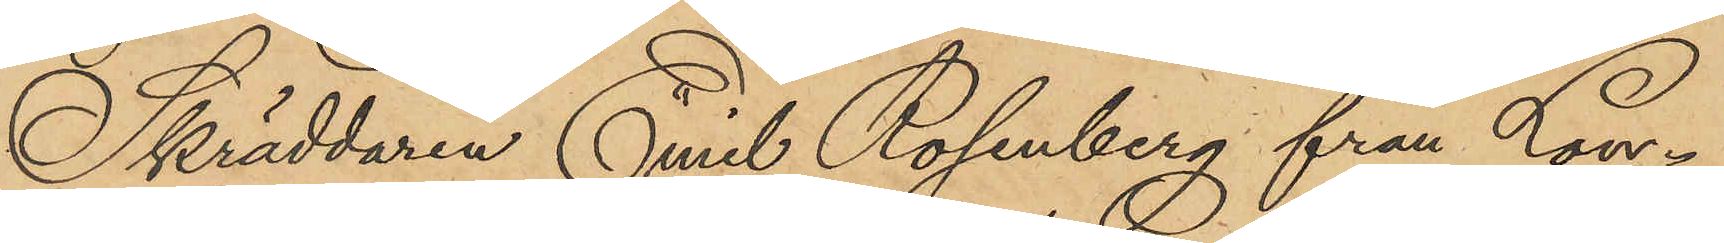Skräddaren Emil Rosenberg från Lon¬
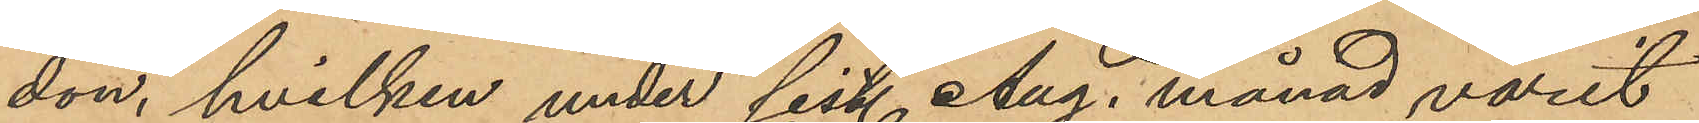don, hvilken under sist. Aug. månad varit
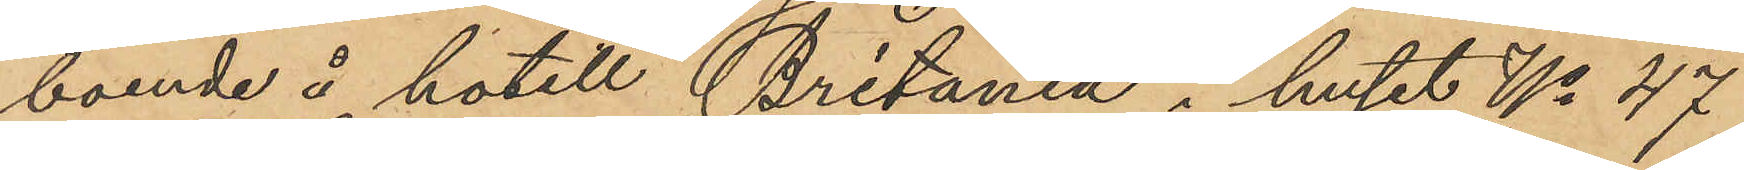boende å hotell "Britania" i huset No 47
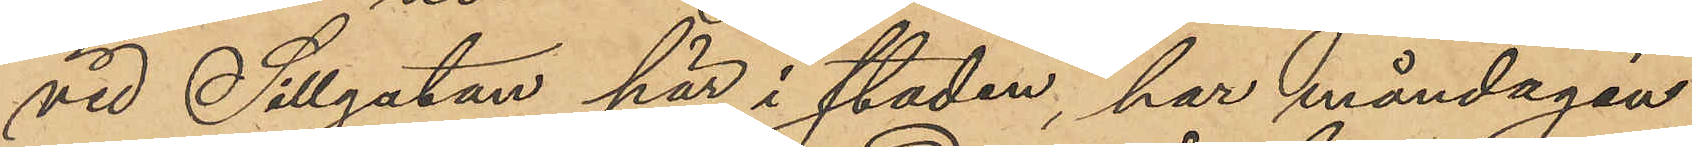vid Sillgatan här i staden, har måndagen
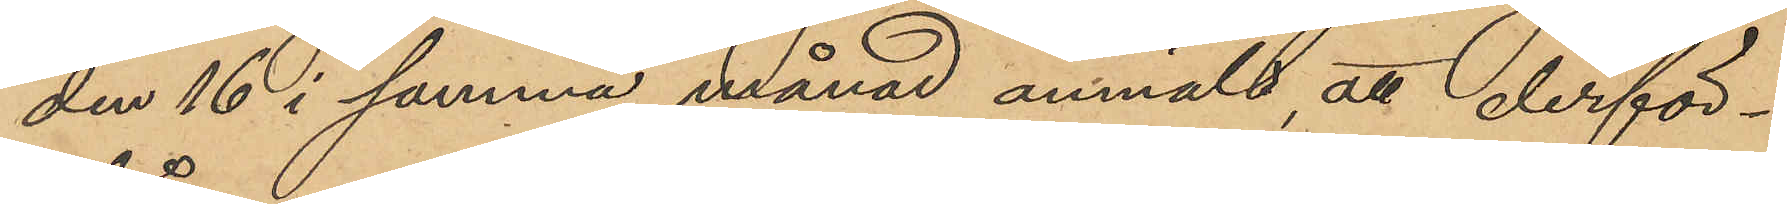den 16 i samma månad anmält, att derför¬
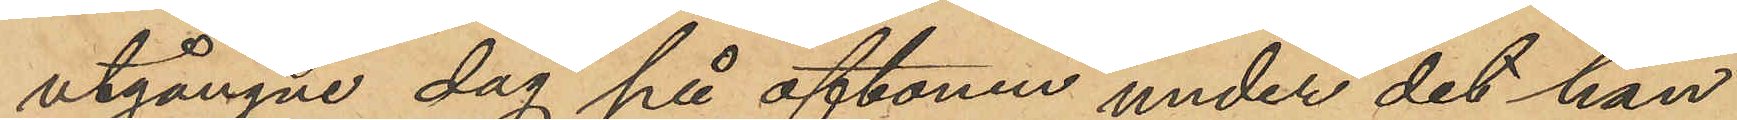utgångne dag på aftonen under det han
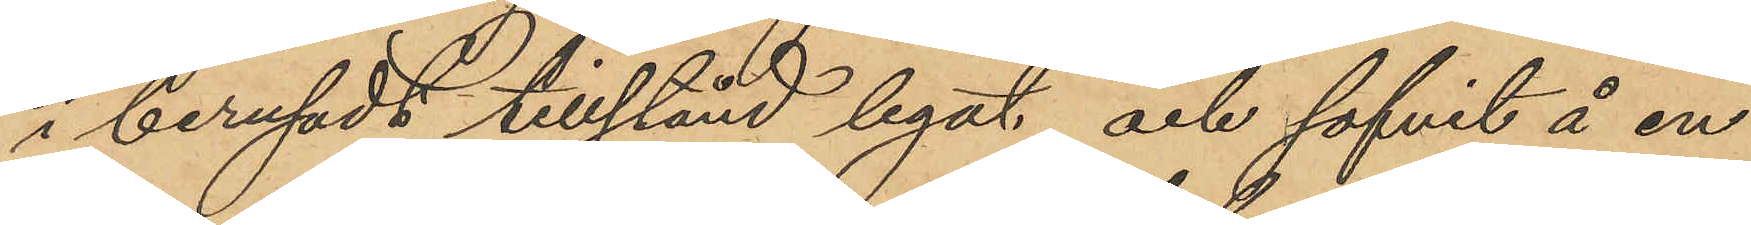i berusadt tillstånd legat och sofvit å en
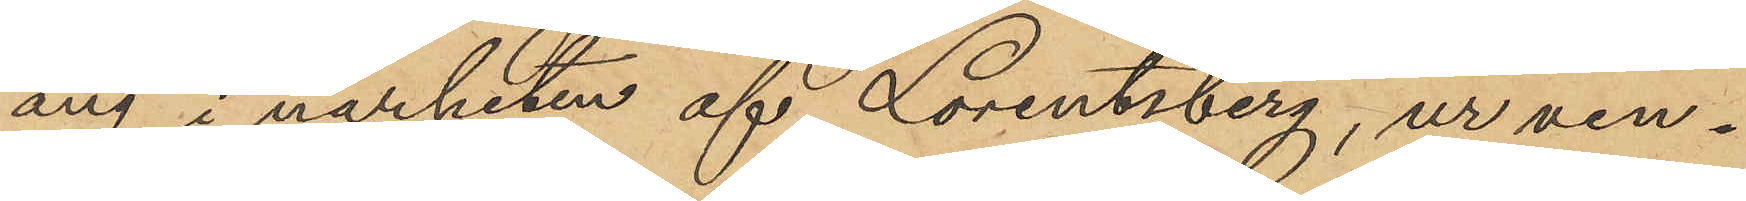äng i närheten af Lorentzberg, ur ven¬
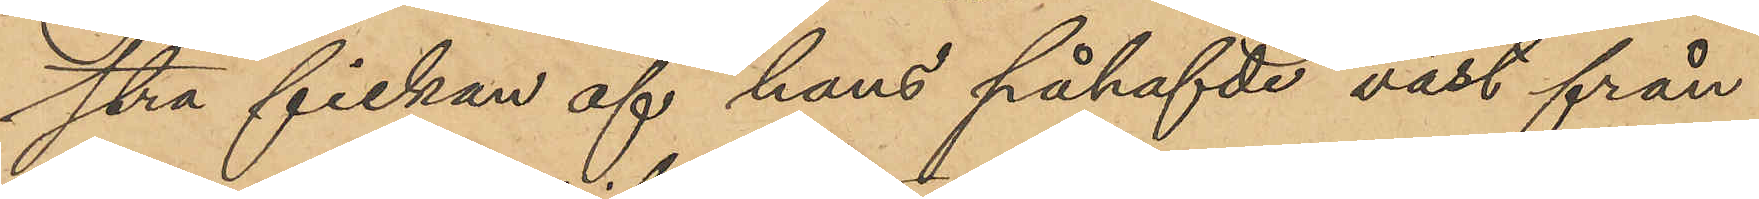stra fickan af hans påhafvde väst från
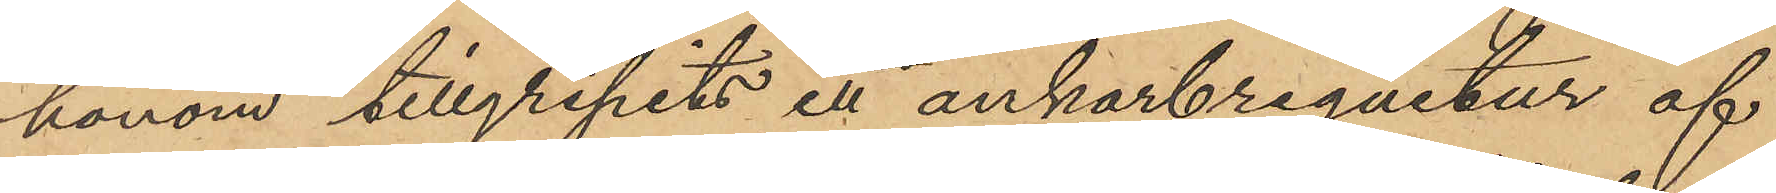honom tillgripits ett ankarbreguetur af
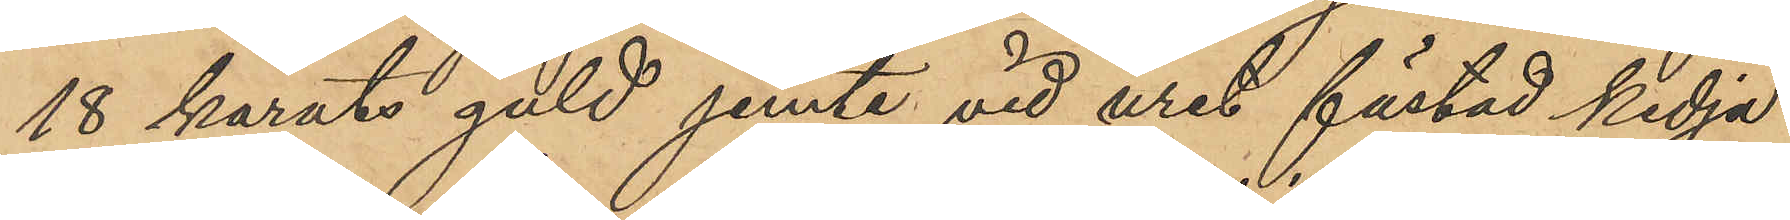18 karats guld jemte vid uret fästad kedja
